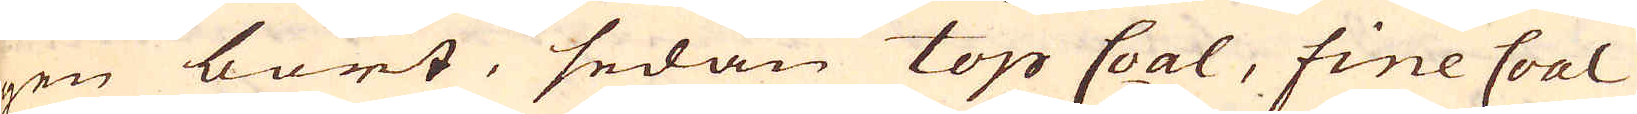gen bort, sedan top Coal, fine Coal
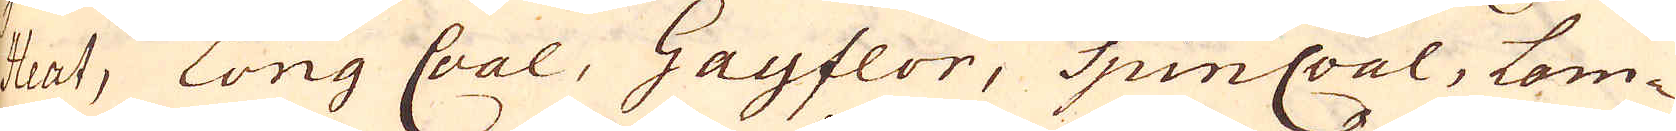Heat, Long Coal, Gayflor, SpinCoal, Lom-
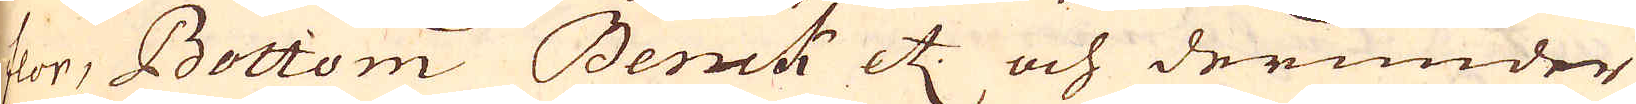flor, Bottom Benck etc. och derunder
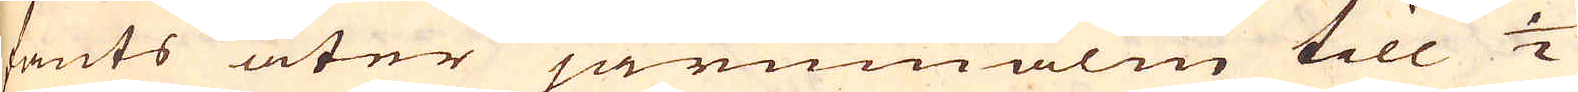fants åter järnmalm till 1/2
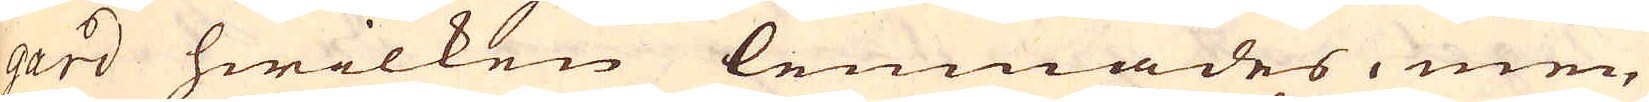gard hwilken lemnades, men
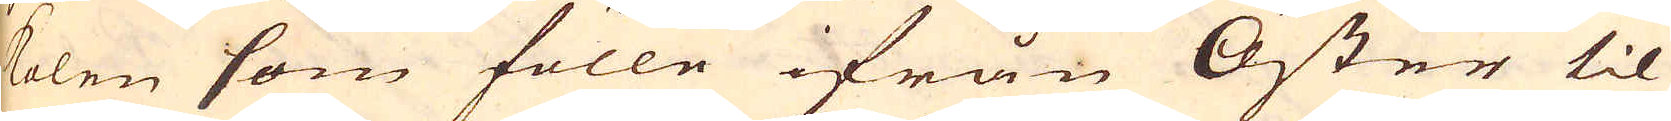kolen som fölle ifrån Öster til
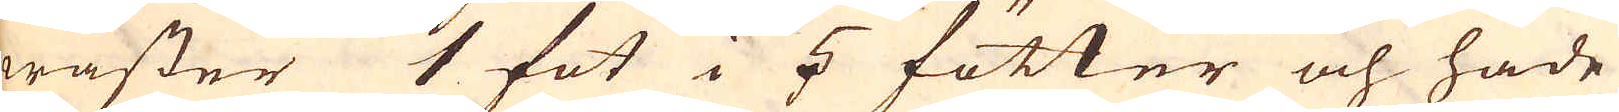wäster 1 fot i 5 fötter och hade
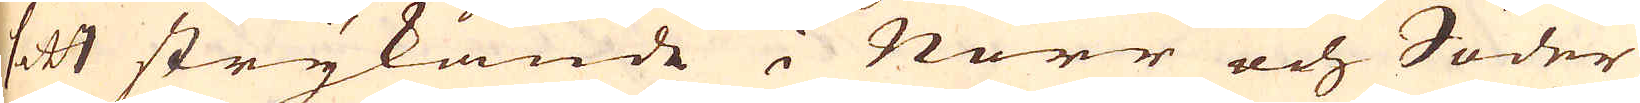sitt strykande i Norr och Söder
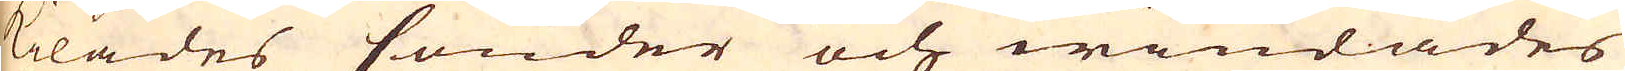kilades sönder och windades
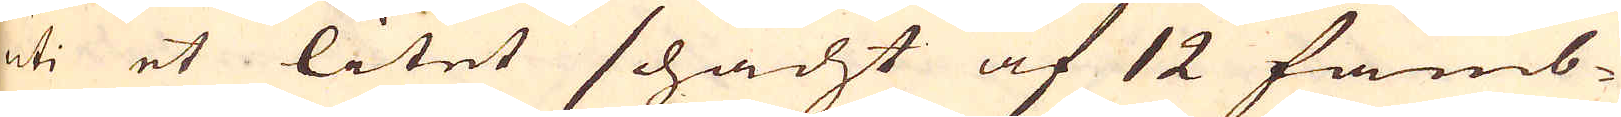uti et litet schacht af 12 famb-
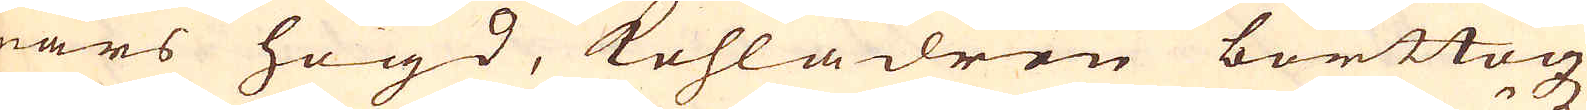nars högd, kohlådren borttogz
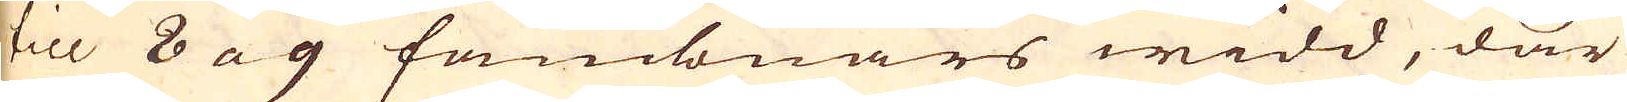till 8 a 9 fambnars widd, där
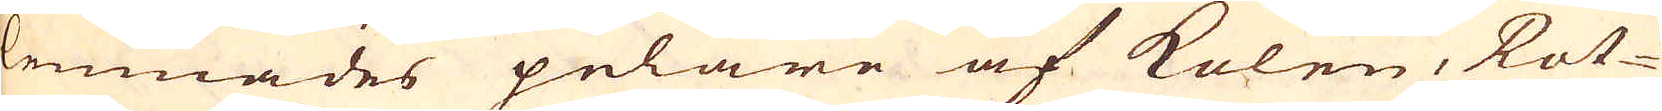lemnades pelare af kolen, Rot-
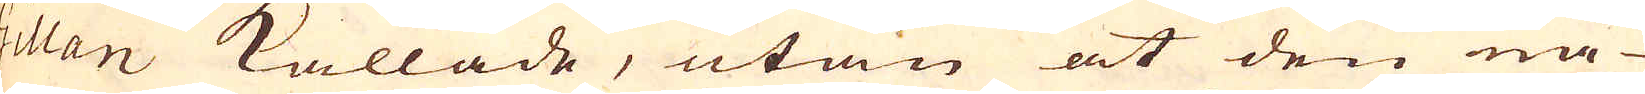Gilan kallade, utan at den nå-
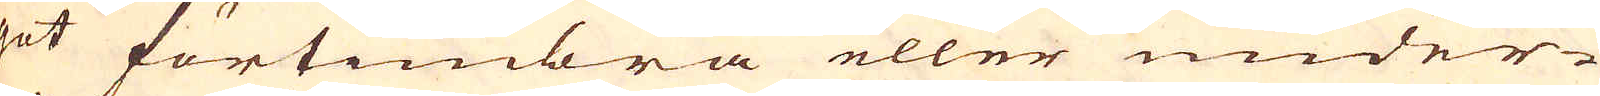got förtimbra eller under-
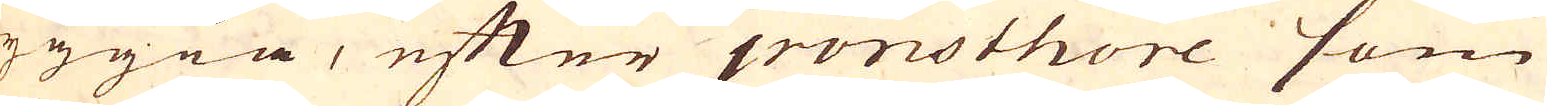byggia, efter ironsthore som
